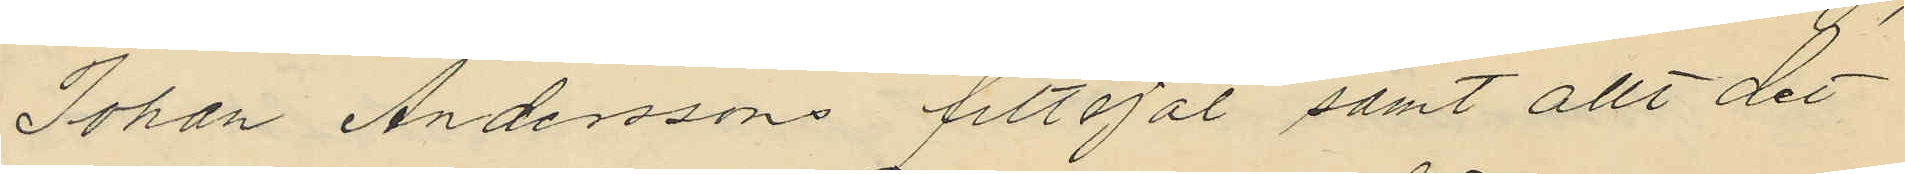Johan Anderssons filtsjal samt allt det
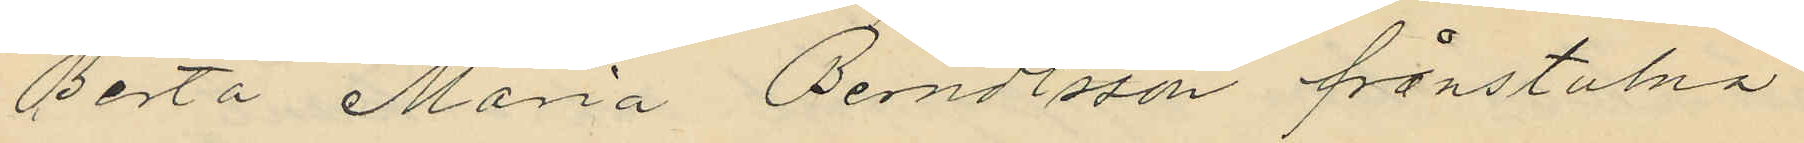Berta Maria Bendtsson frånstulna
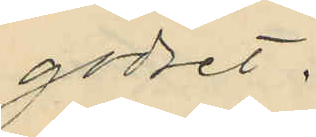godset.
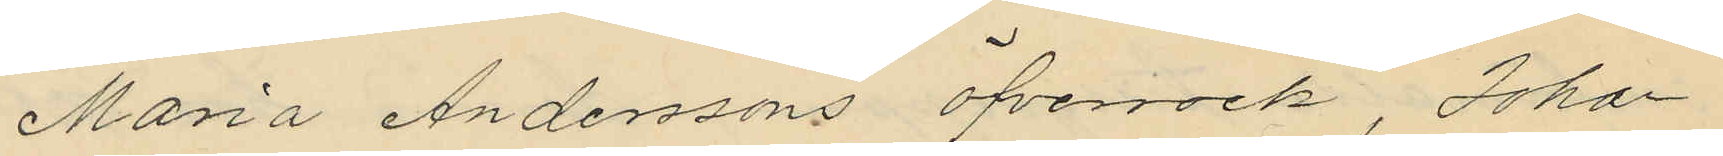Maria Anderssons öfverrock, Johan
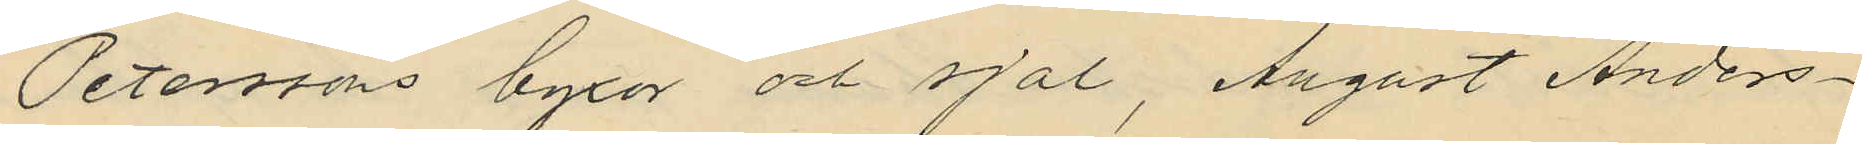Peterssons byxor och sjal, August Anders¬
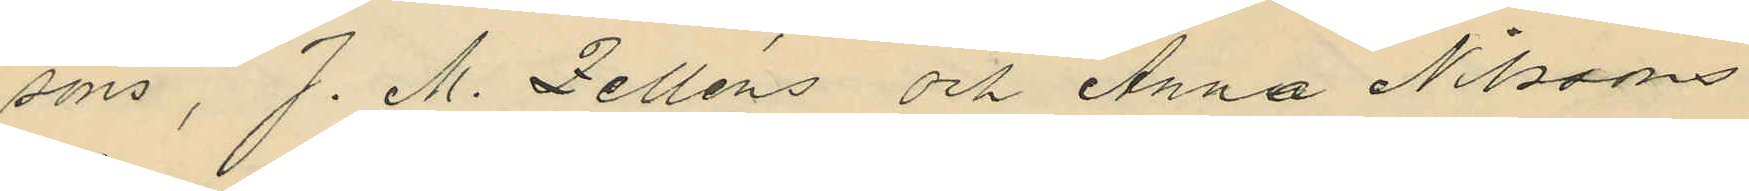sons, J. M. Zelléns och Anna Nilsons
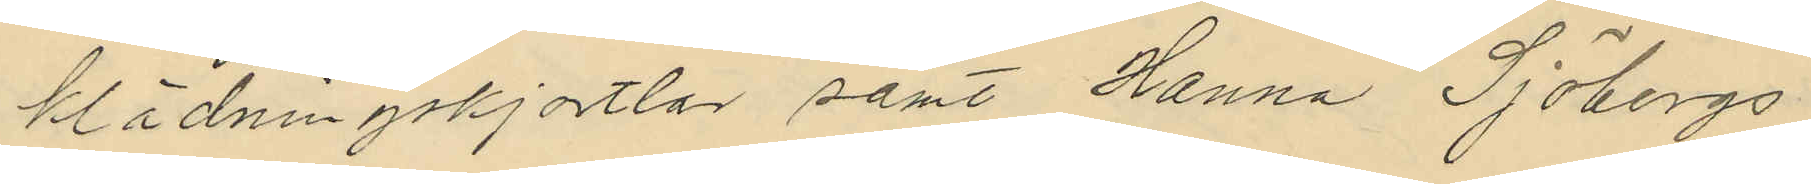klädningskjortlar samt Hanna Sjöbergs
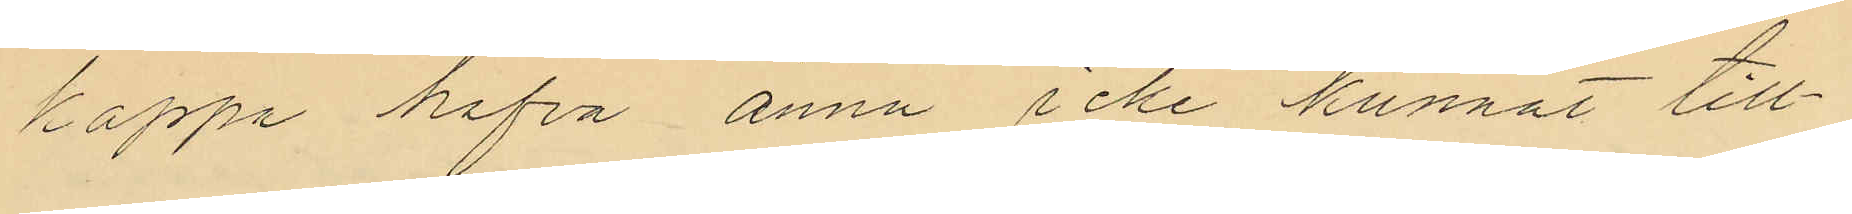kappa hafva ännu icke kunnat till¬
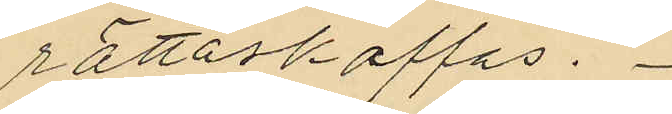rättaskaffas.
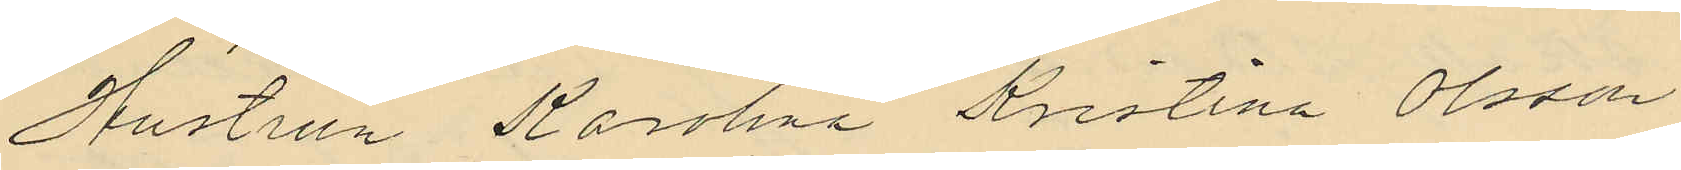Hustrun Karolina Kristina Olsson
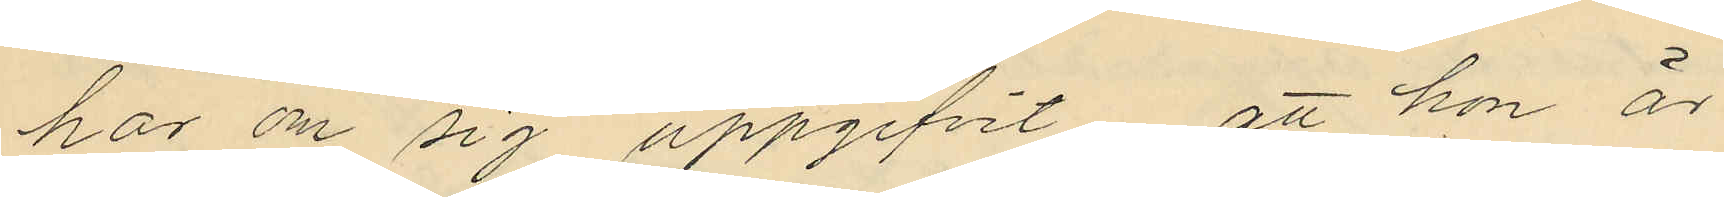har om sig uppgifvit, att hon är
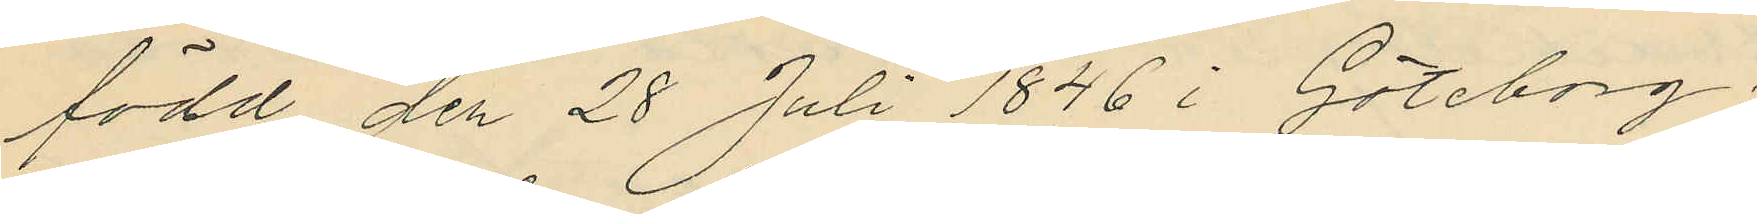född den 28 Juli 1846 i Göteborg;
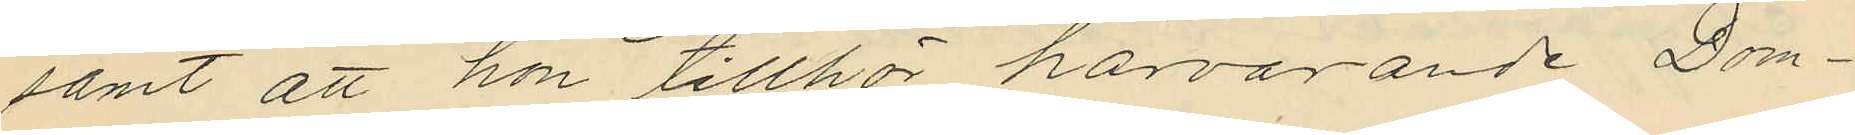samt att hon tillhör härvarande Dom¬
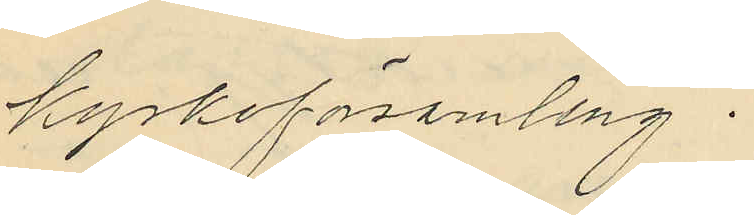kyrkoförsamling.
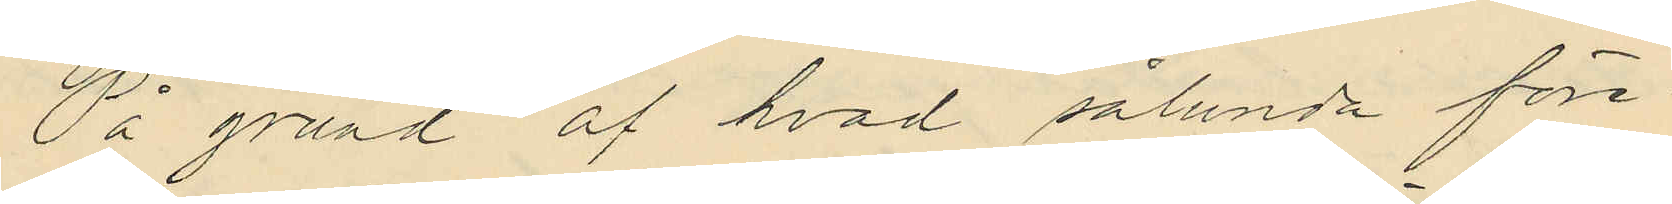På grund af hvad sålunda före¬
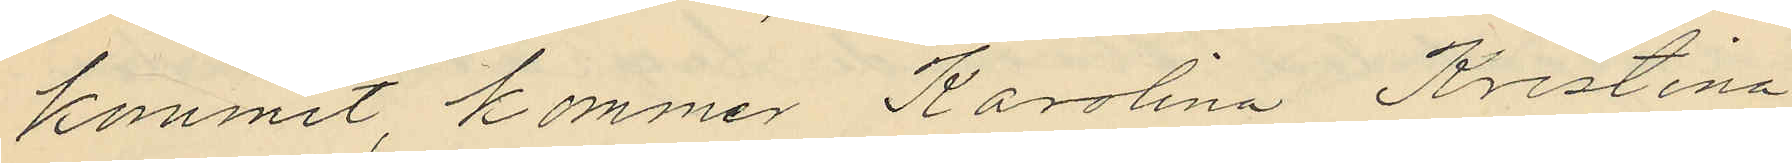kommit, kommer Karolina Kristina
